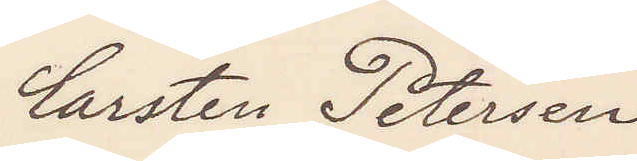Carsten Petersen
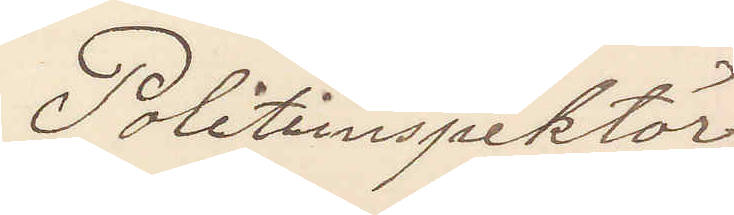Politiinspektör
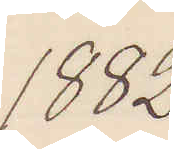1882
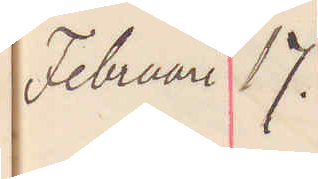Februari 17.
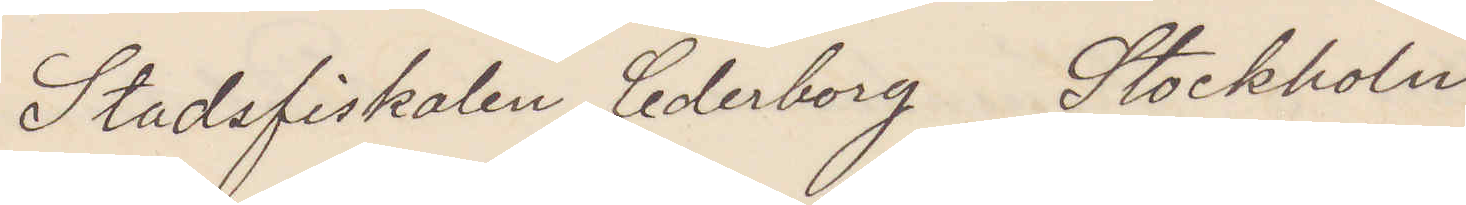Stadsfiskalen Cederborg Stockholm
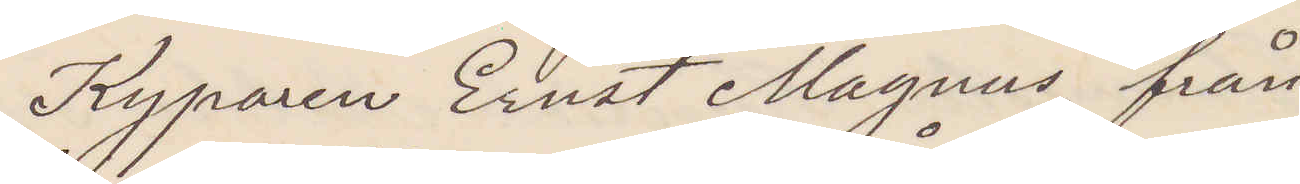Kyparen Ernst Magnus, från
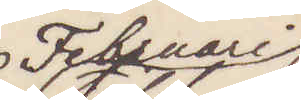Februari
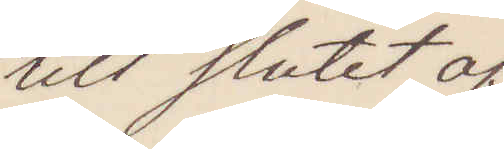till slutet af
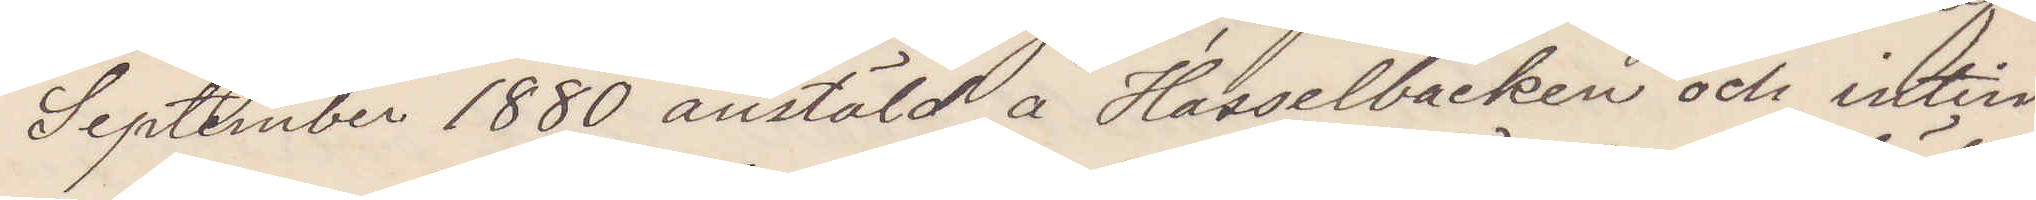September 1880 anstäld å Hasselbacken och intim
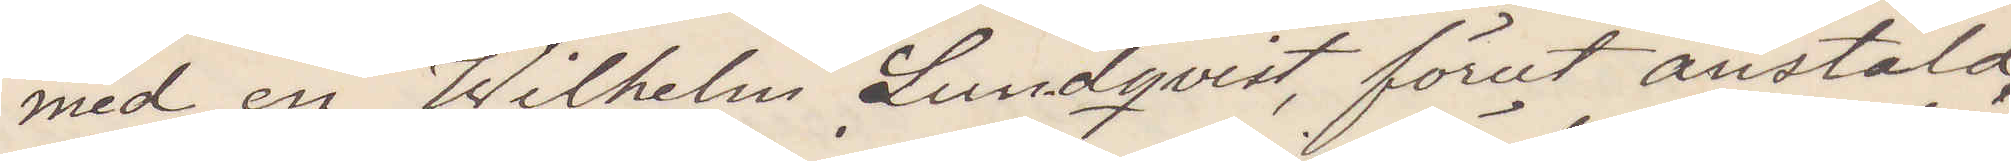med en Wilhelm Lundqvist, förut anstäld
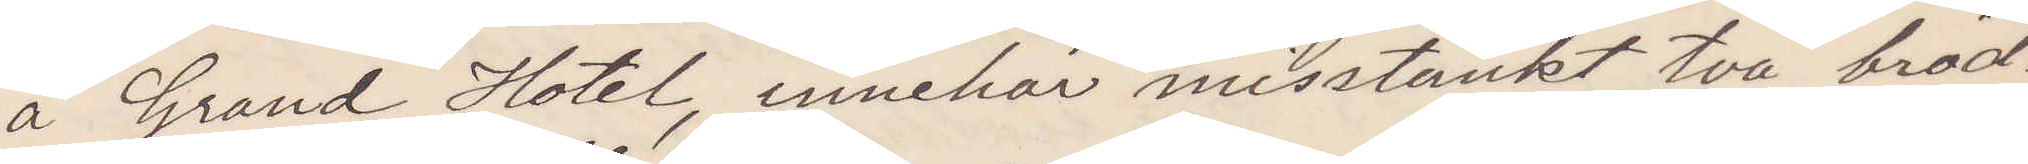å Grand Hotel, innehar misstänkt två bröd¬
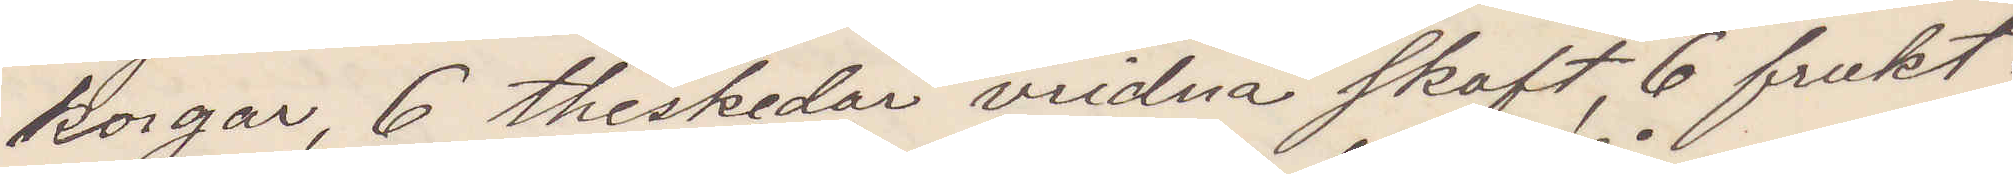korgar, 6 theskedar vridna skaft, 6 frukt¬
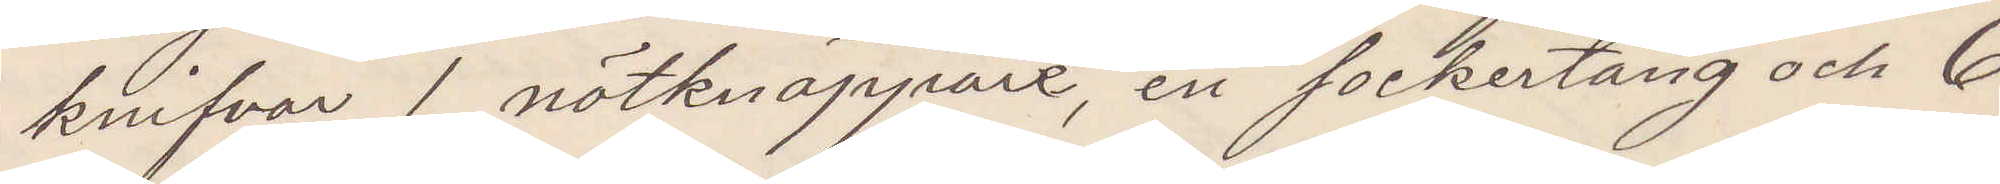knifvar 1 nötknäppare, en sockertång och 6
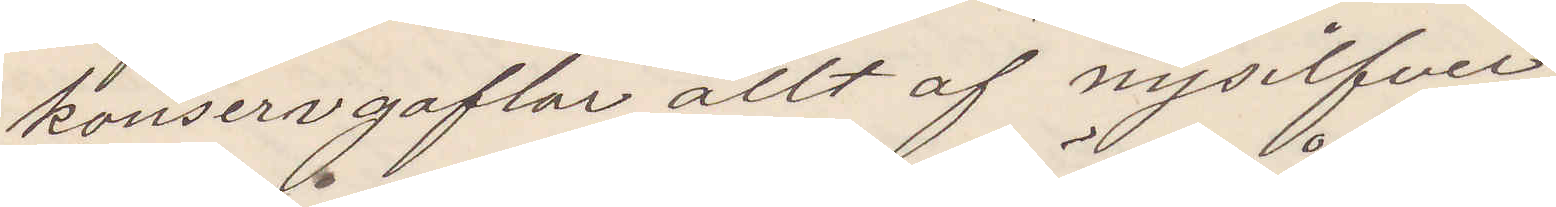konservgafflar allt af nysilfver.
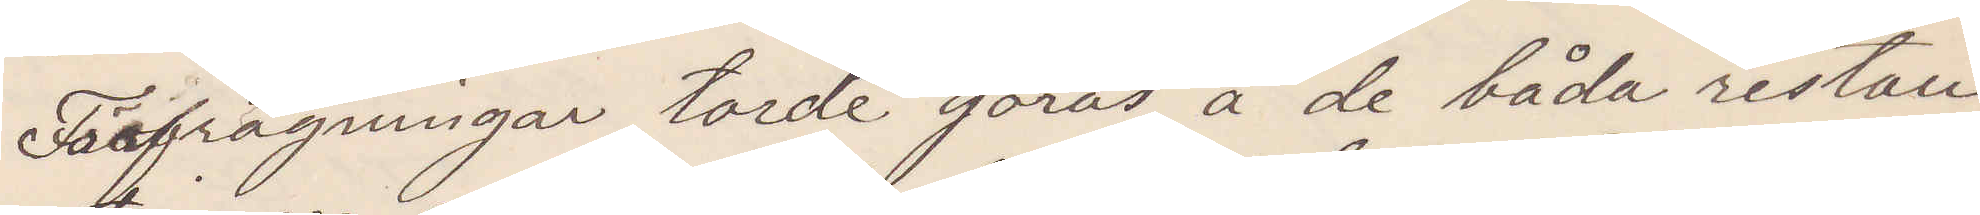Förfrågningar torde göras å de båda restau¬
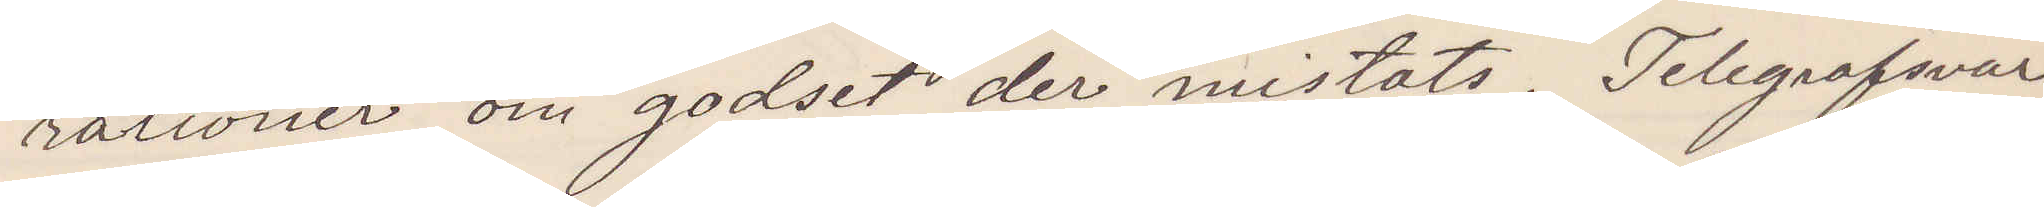rationer om godset der mistats. Telegrafsvar
